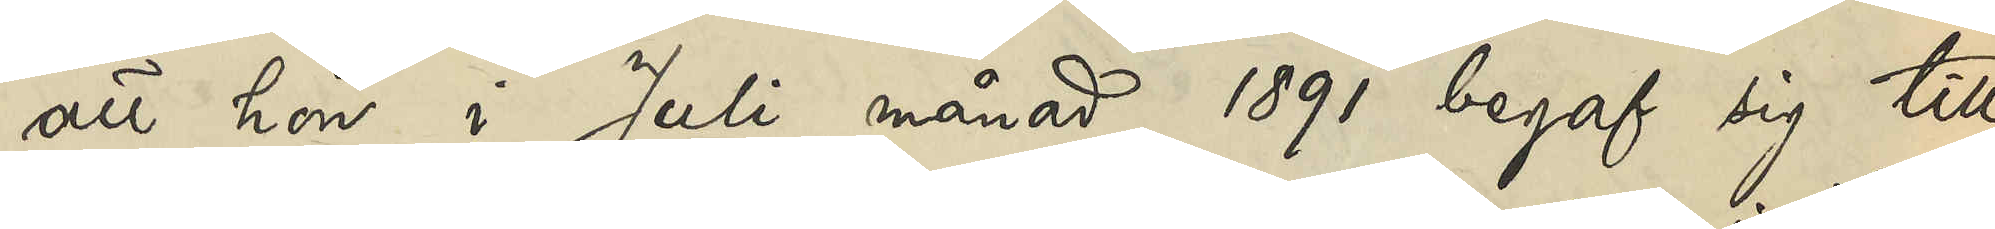att hon i Juli månad 1891 begaf sig till
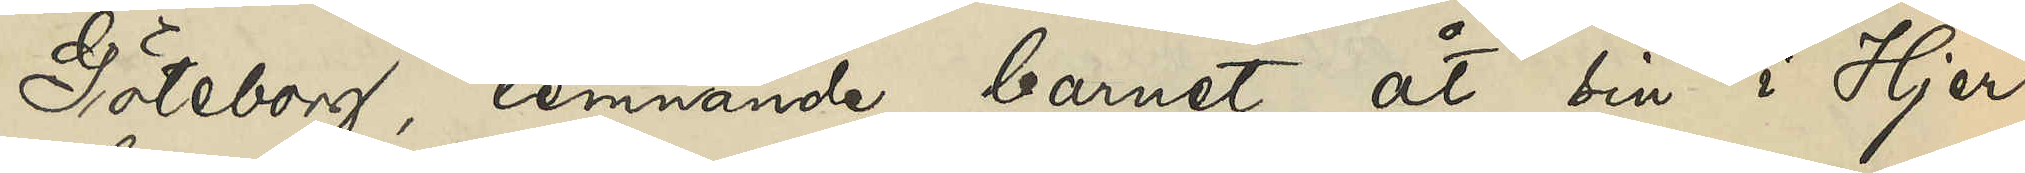Göteborg, lemnande barnet åt sin i Hjer¬
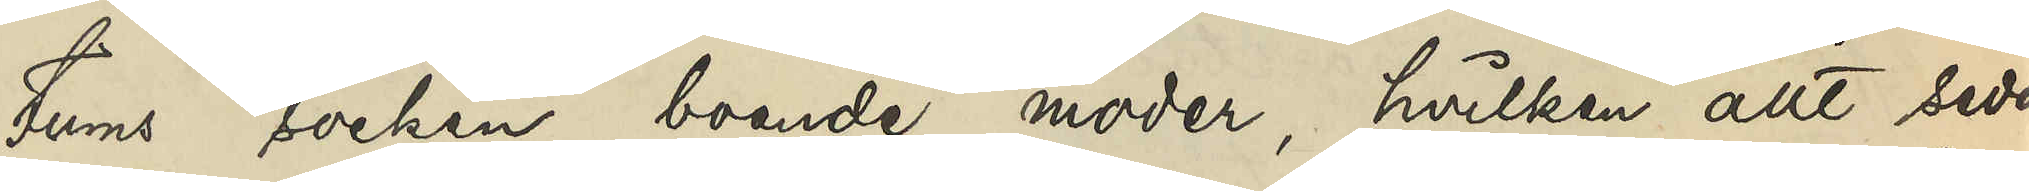tums socken boende moder, hvilken allt sedan
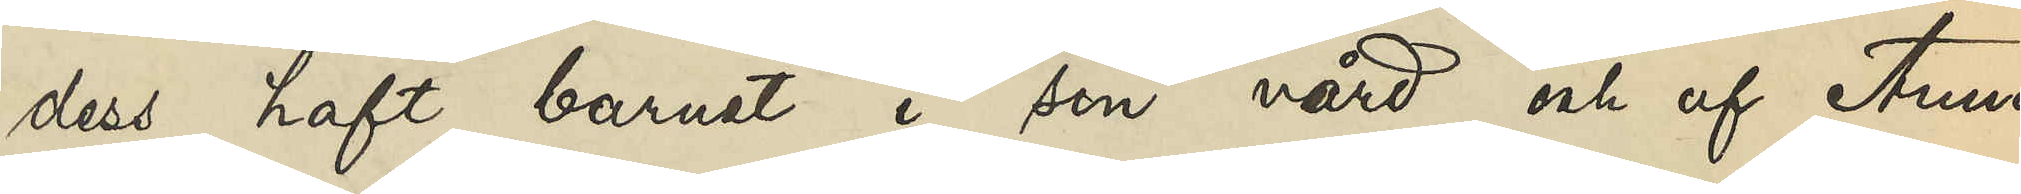dess haft barnet i sin vård och af Anna
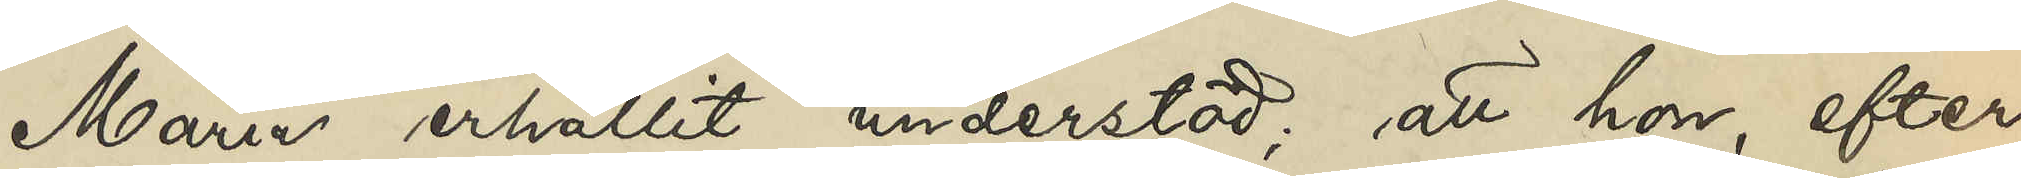Maria erhållit understöd; att hon, efter
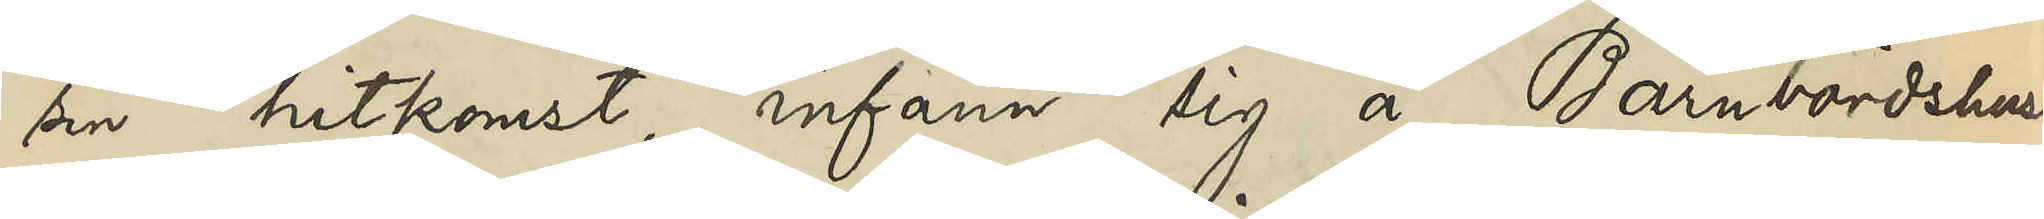sin hitkomst, infann sig å Barnbördshuset
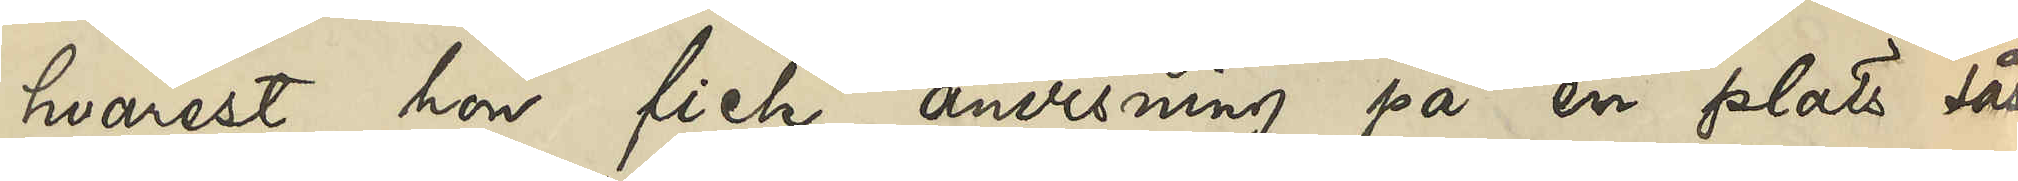hvarest hon fick anvisning på en plats såsom
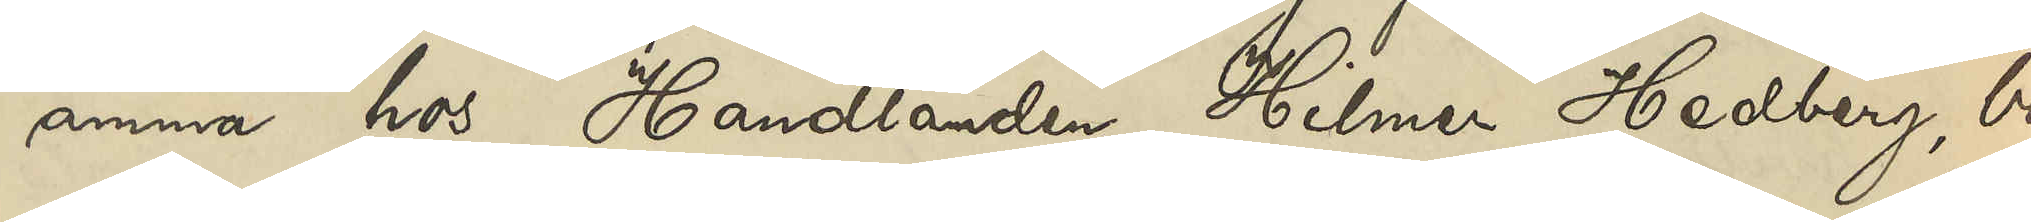amma hos Handlanden Hilmer Hedberg, bo¬
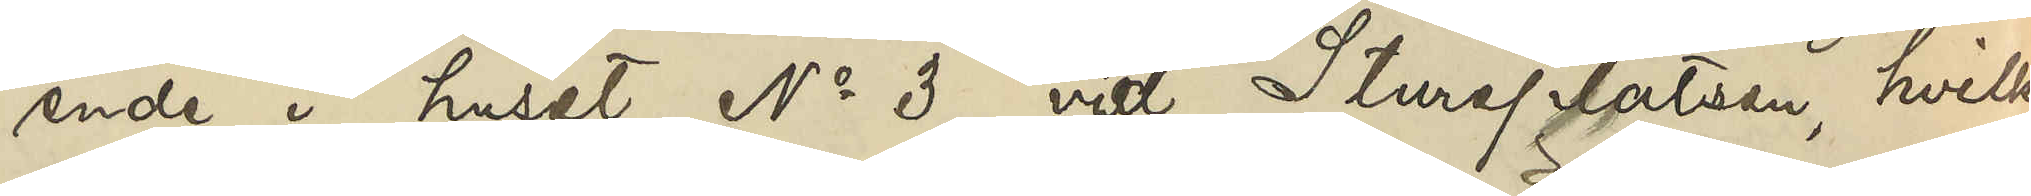ende i huset No 3 vid Stureplatsen, hvilken
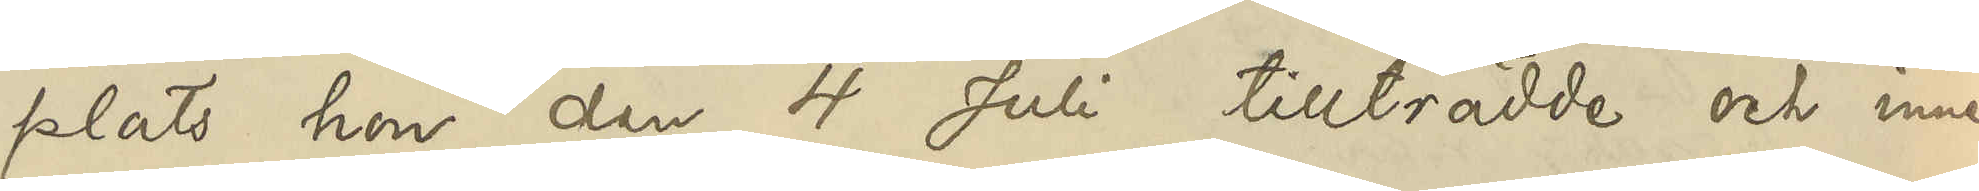plats hon den 4 Juli tillträdde och inne¬
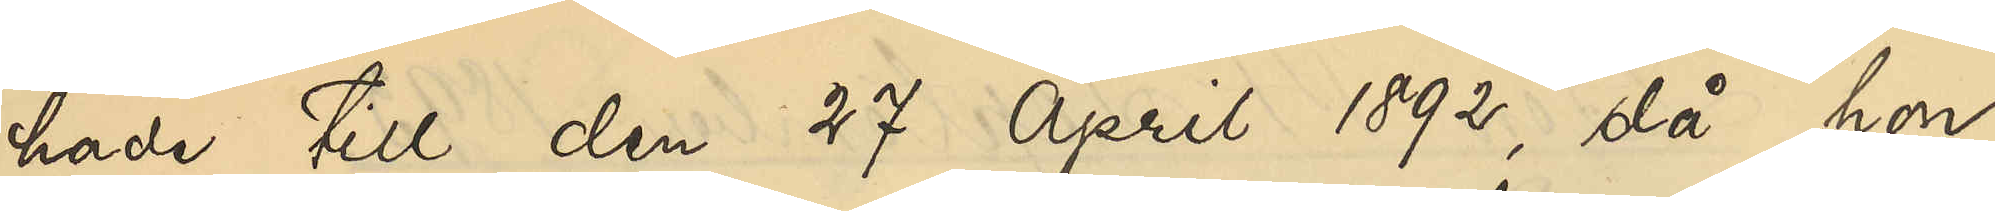hade till den 27 April 1892, då hon
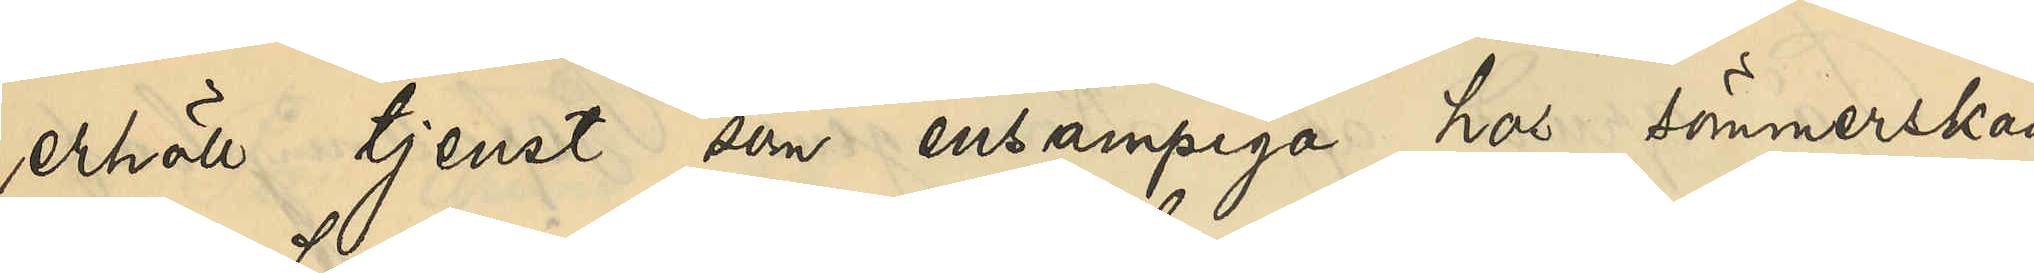erhöll tjenst som ensampiga hos sömmerskan
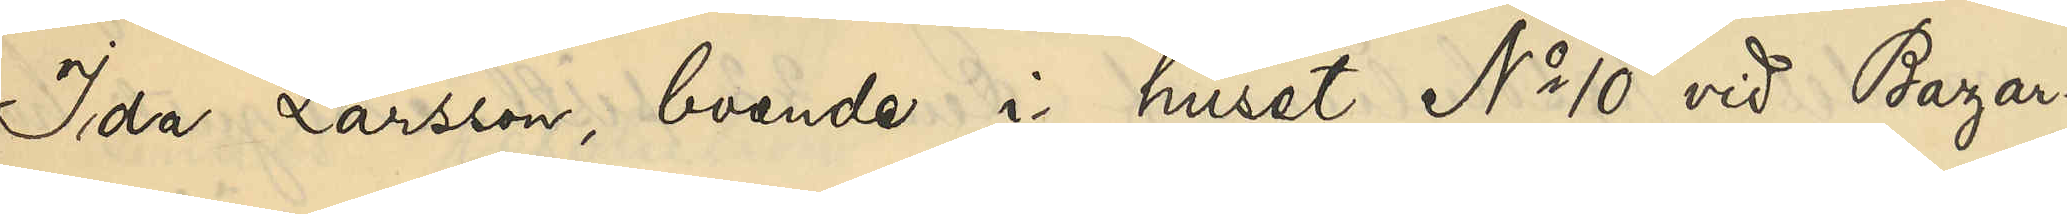Ida Larsson, boende i huset No 10 vid Bazar¬
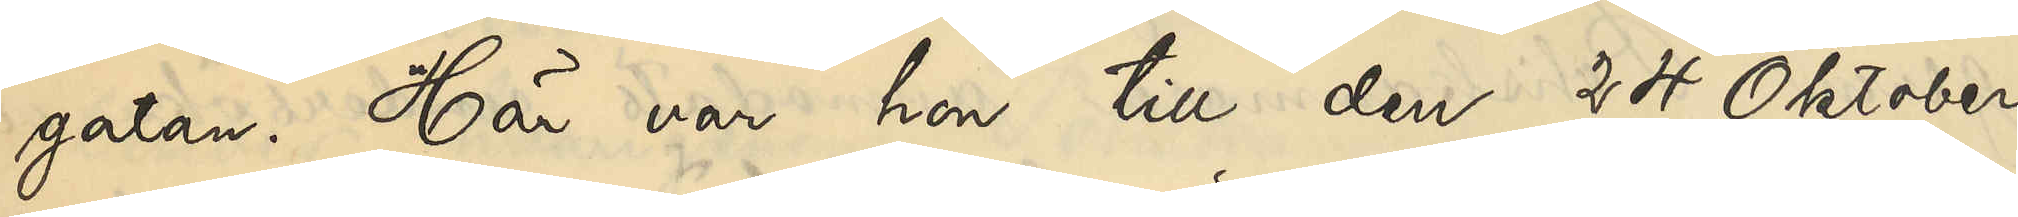gatan. Här var hon till den 24 Oktober
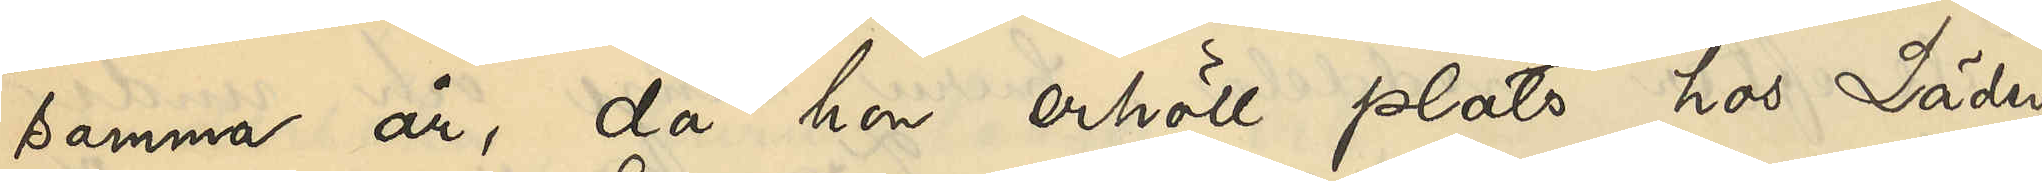samma år, då hon erhöll plats hos Läder¬
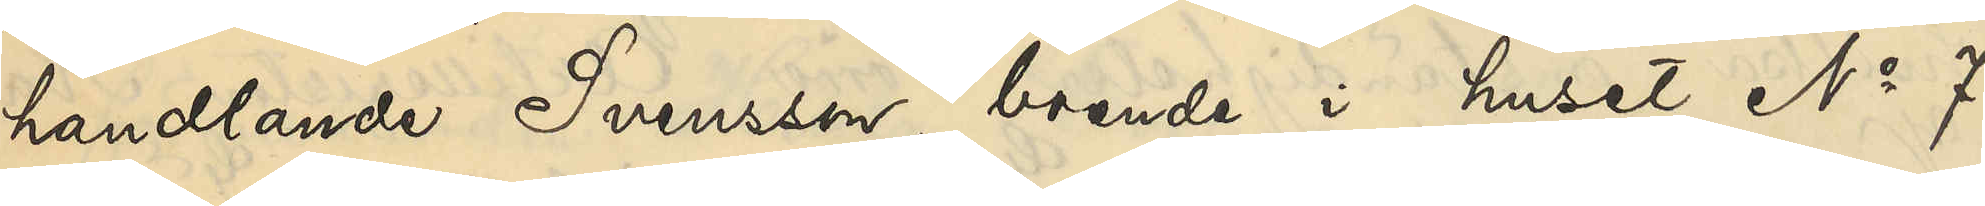handlande Svensson, boende i huset No 7
